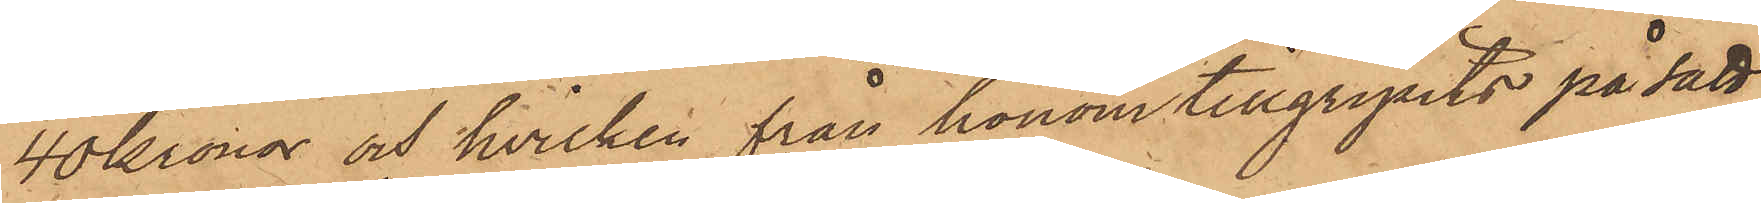40 Kronor och hvilken från honom tillgripits på sätt
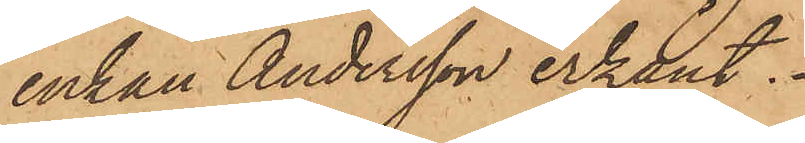enkan Andersson erkänt:
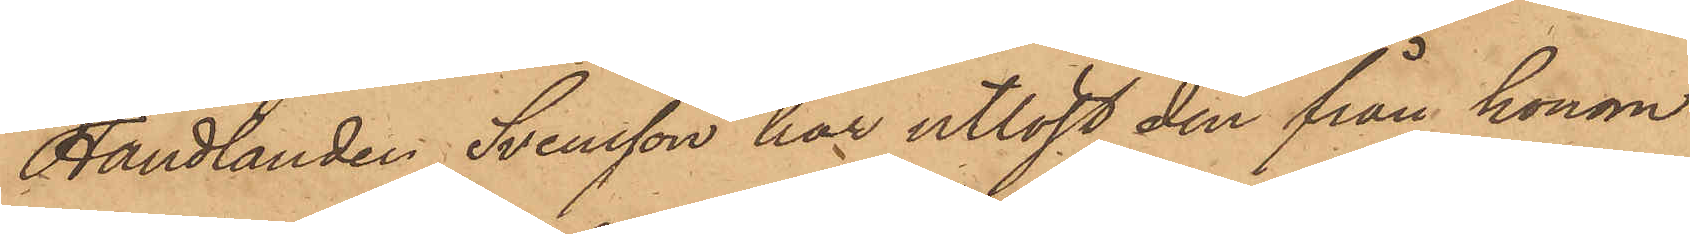Handlanden Svensson har utlöst den från honom
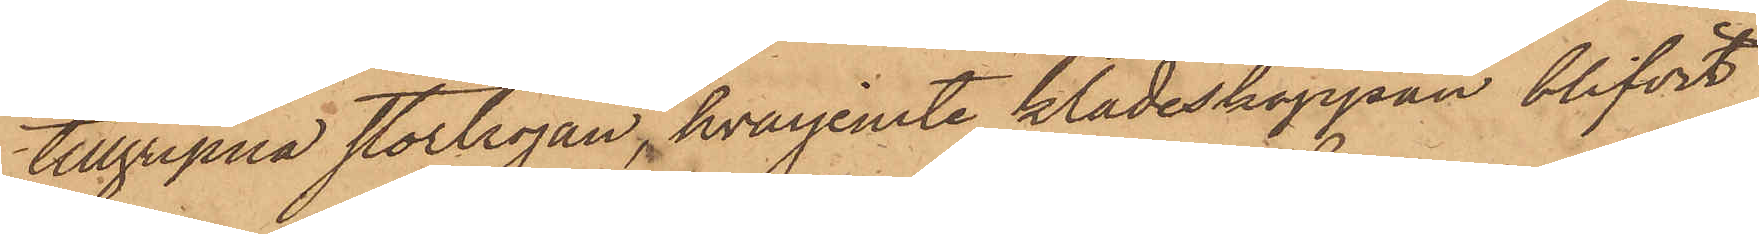tillgripna stortröjan, hvarjemte klädeskappan blifvit
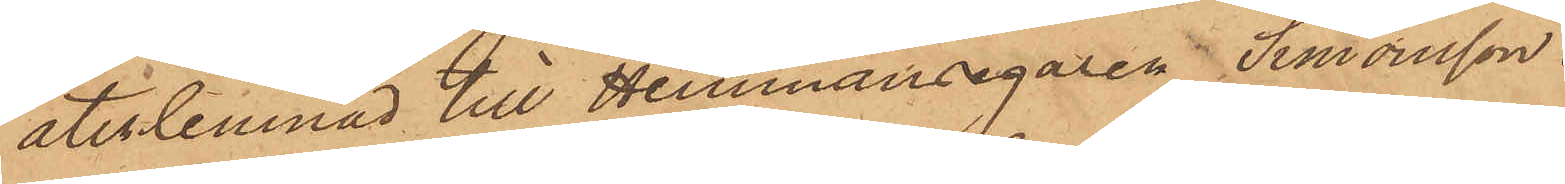återlemnad till Hemmansegaren Simonsson
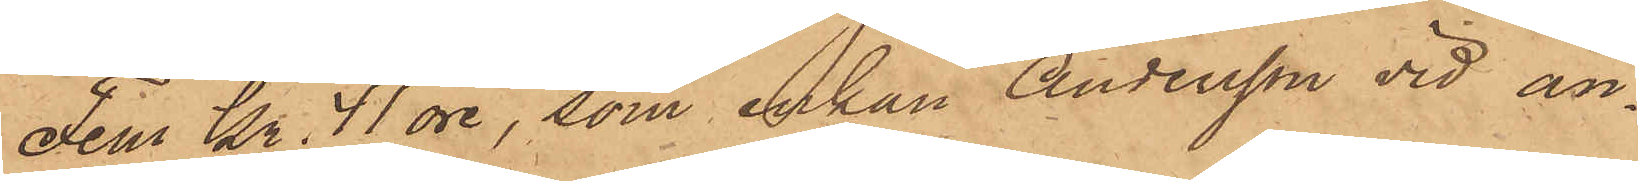Fem Kr. 41 öre, som enkan Andersson vid an¬
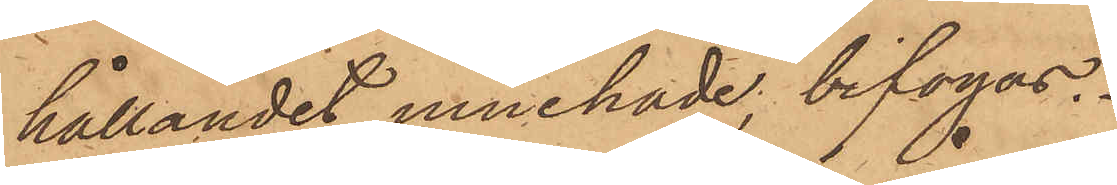hållandet innehade, bifogas.
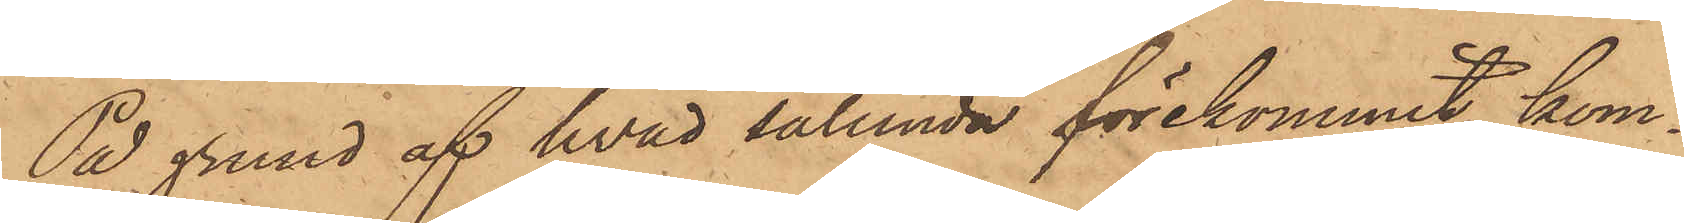På grund af hvad sålunda förekommit kom¬
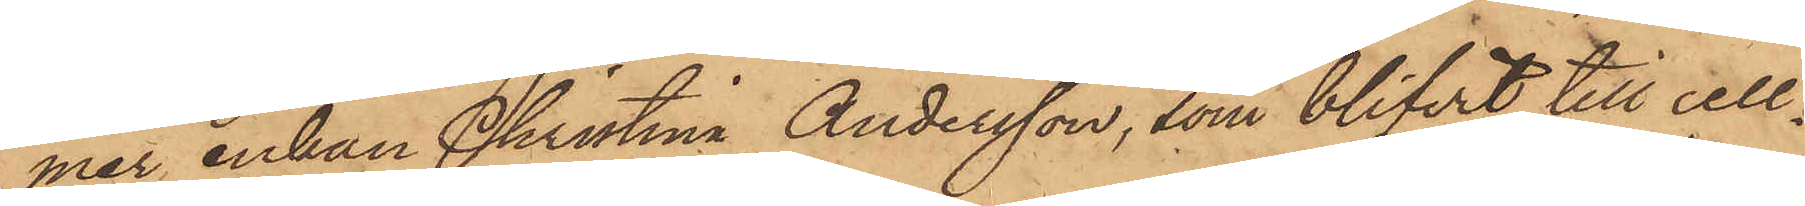mer, enkan Christina Andersson, som blifvit till cell¬
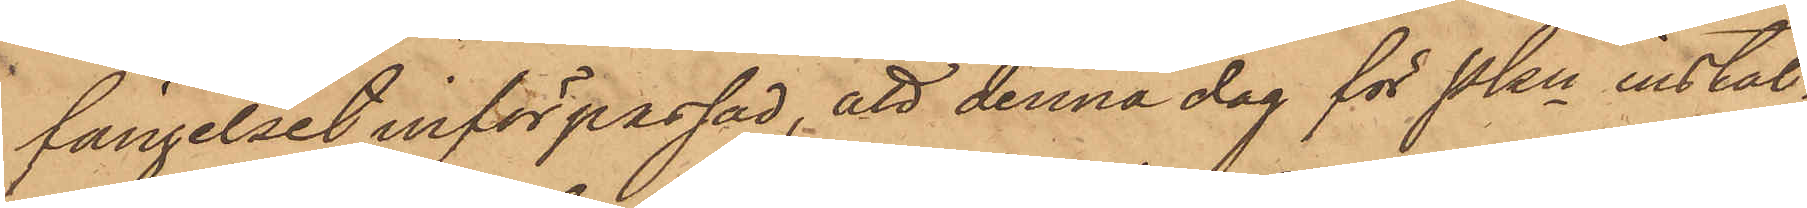fängelset införpassad, att denna dag för Pkn instäl¬
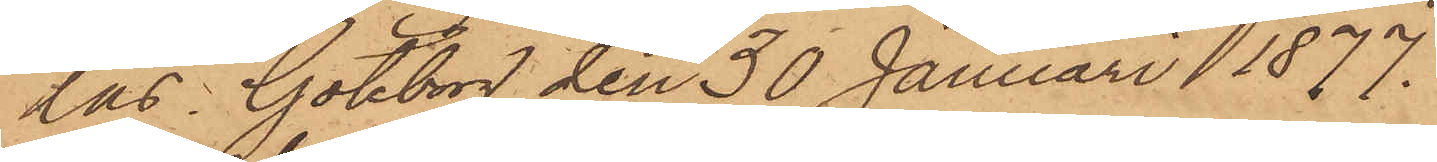las. Göteborg den 30 Januari 1877.
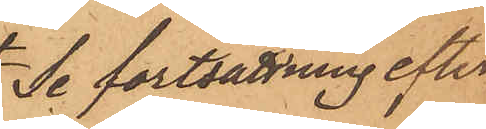Se fortsättning efter
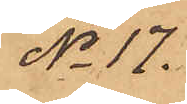No 17.
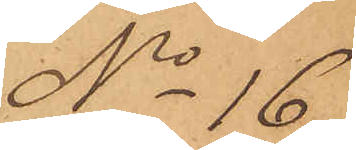No 16
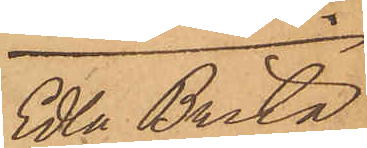Edla Brita
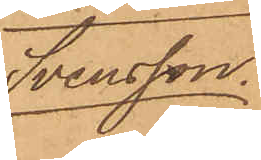Svensson.
